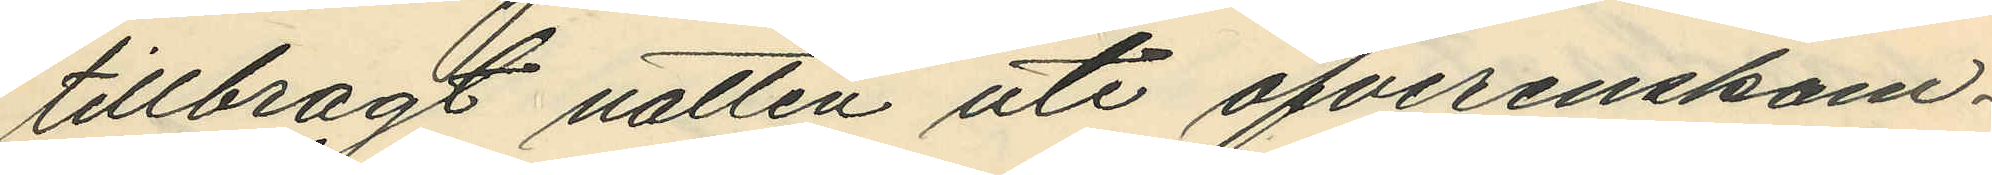tillbragt natten ute öfverenskom¬
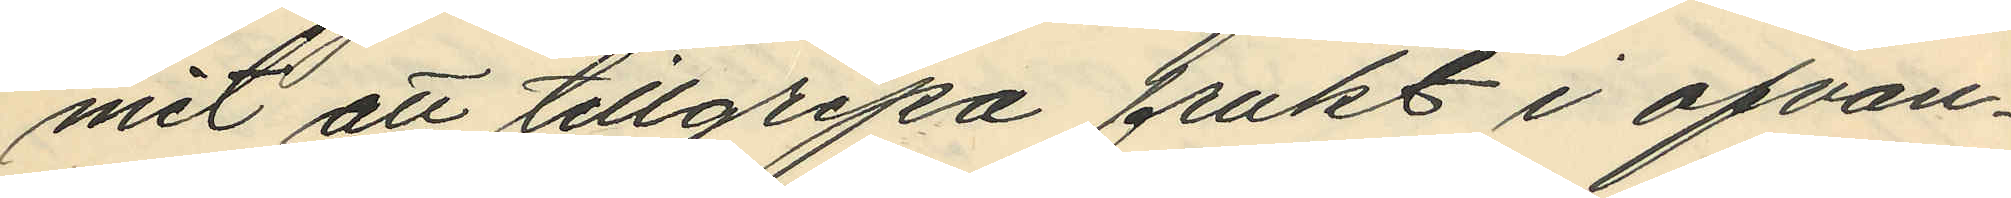mit att tillgripa frukt i ofvan¬
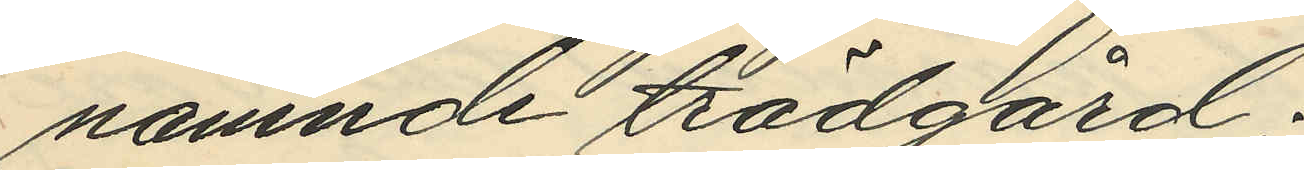namnde trädgård;
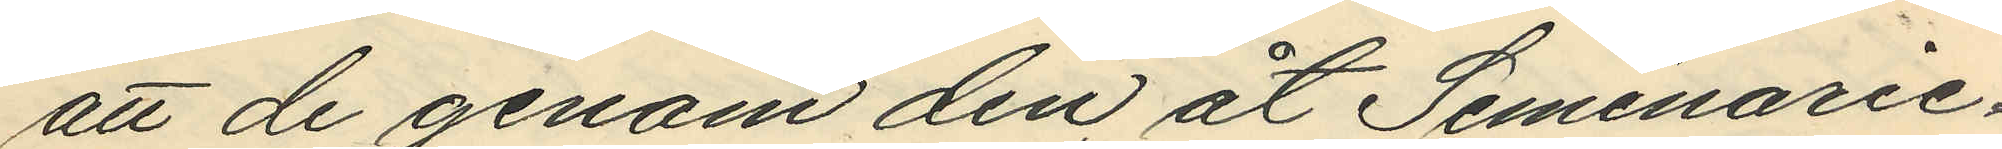att de genom den åt Seminarie¬
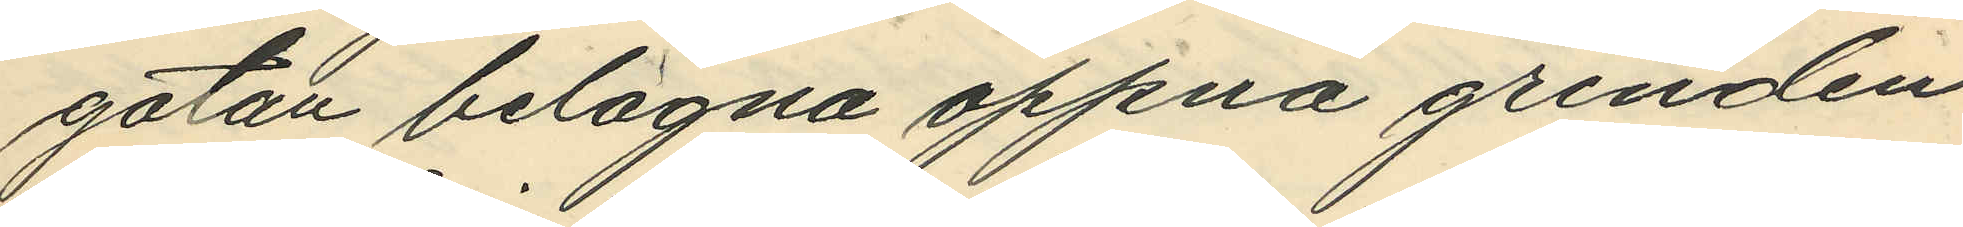gatan belägna öppna grinden
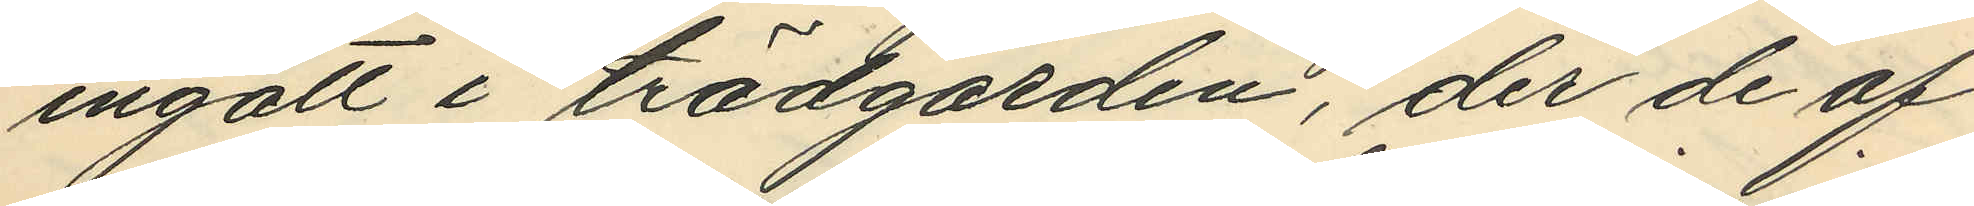ingått i trädgården, der de af
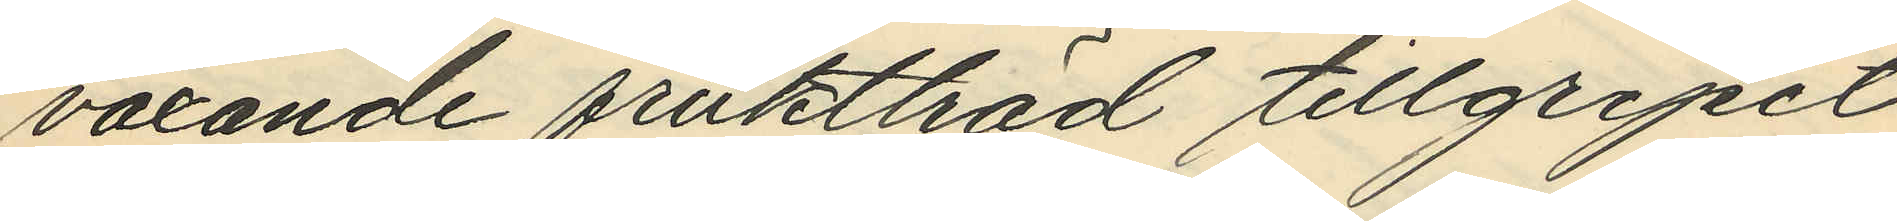växande fruktträd tillgripit
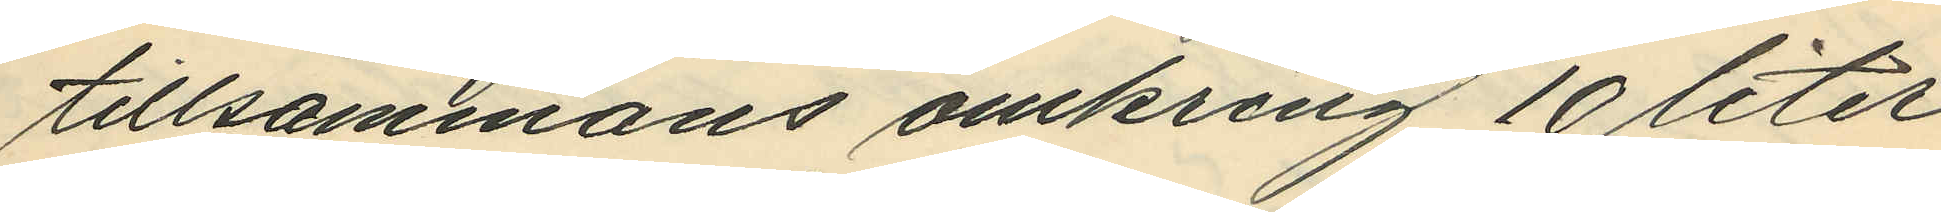tillsammans omkring 10 liter
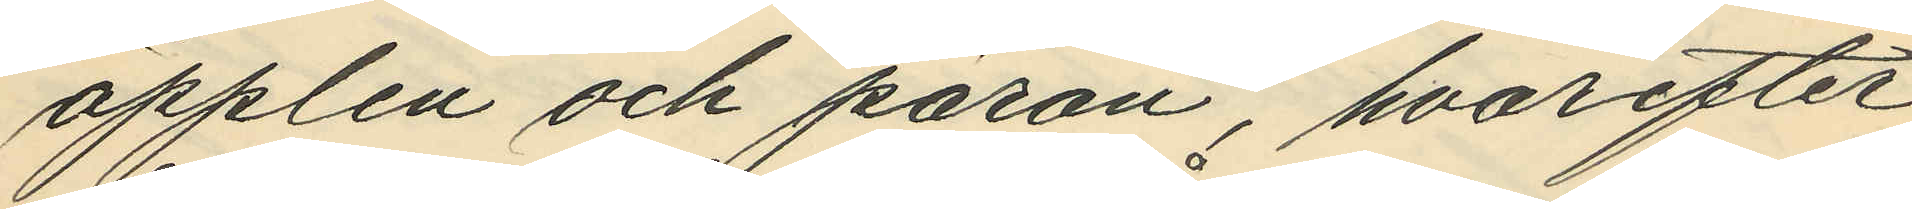äpplen och päron, hvarefter
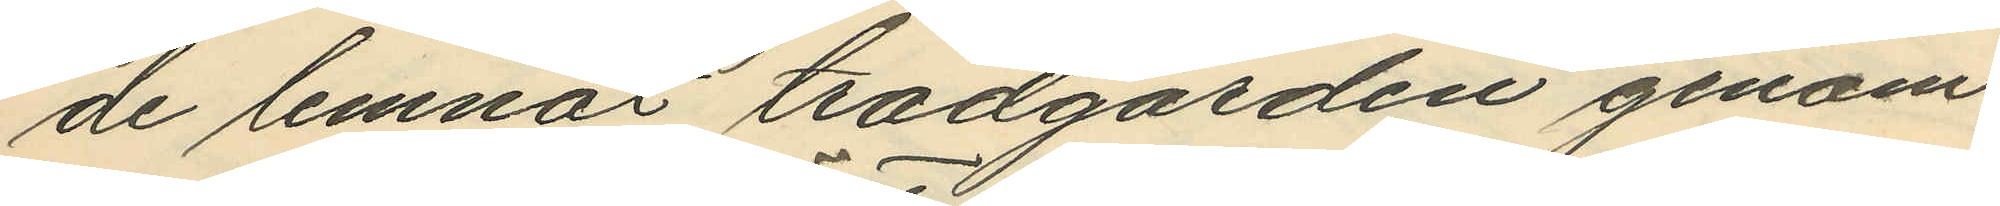de lemnat trädgården genom
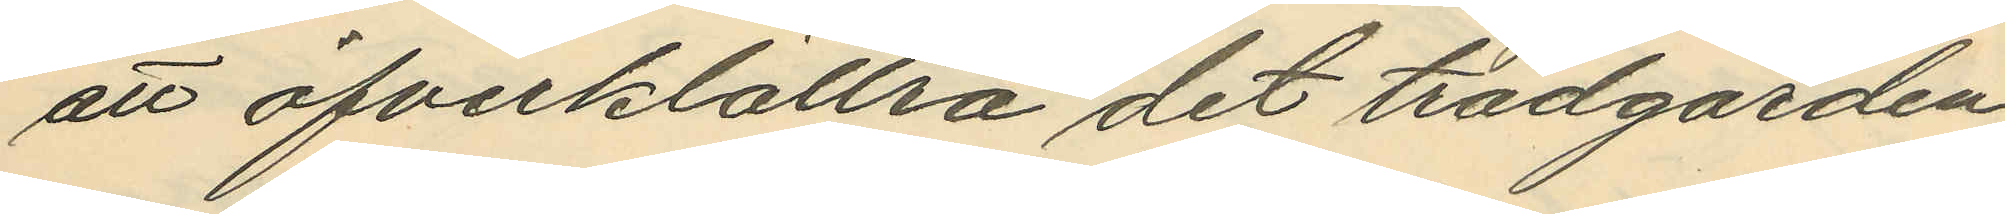att öfverklättra det trädgården
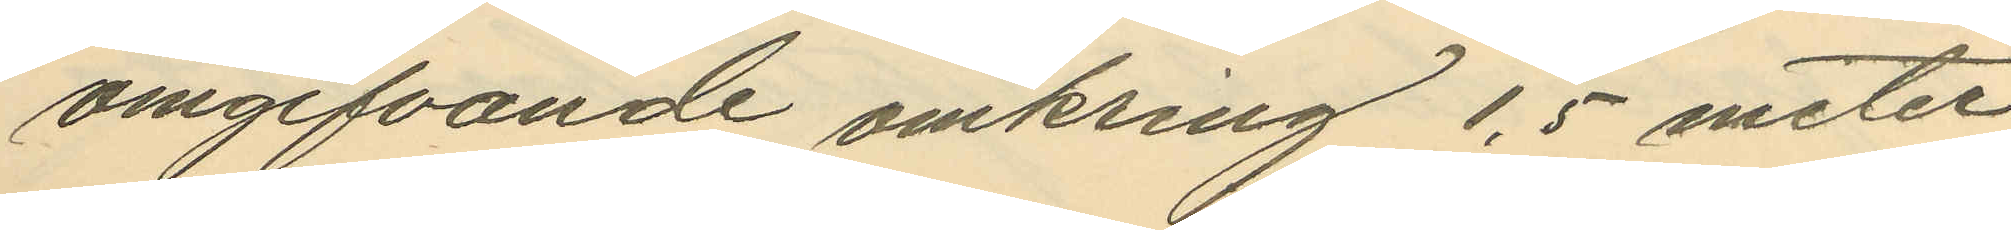omgifvande omkring 1,5 meter
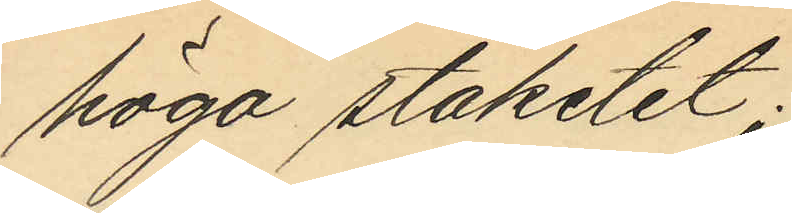höga staketet;
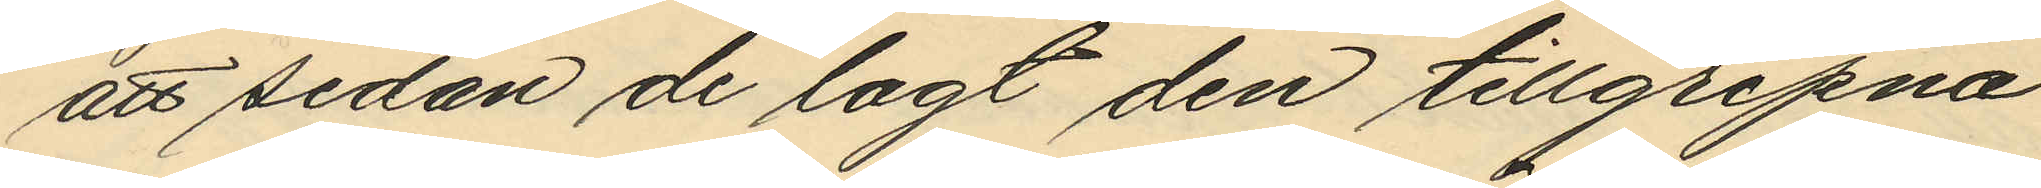att sedan de lagt den tillgripna
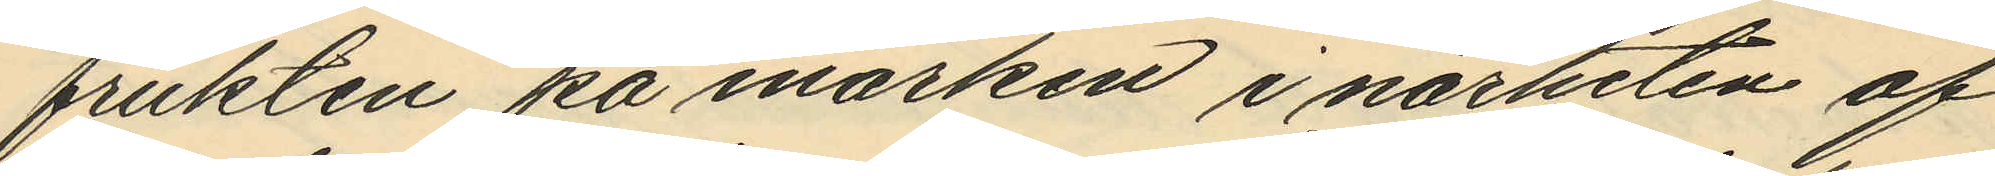frukten på marken i närheten af
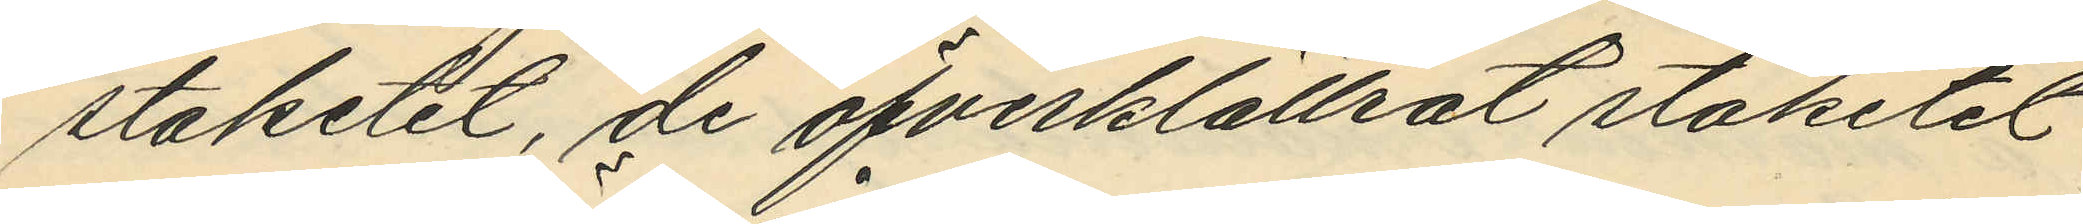staketet, de öfverklättrat staketet
